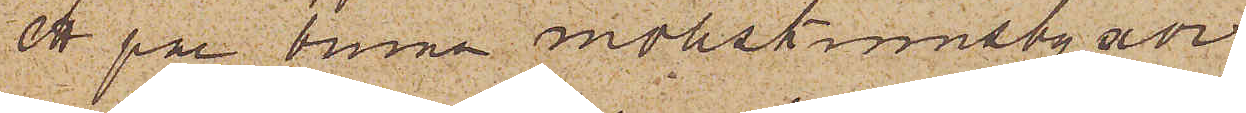ett par bruna mollskinnsbyxor
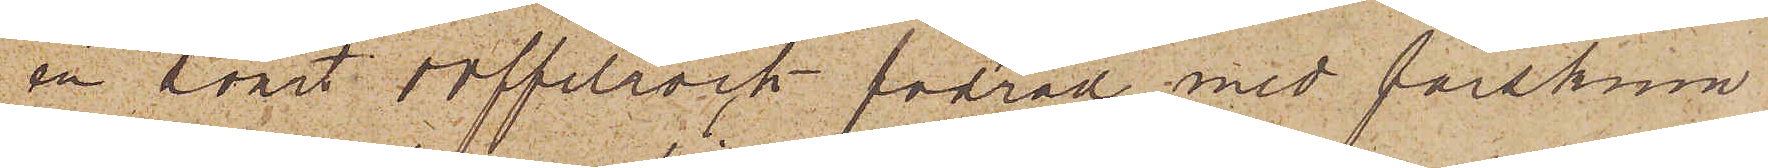en svart doffelrock fodrad med fårskinn
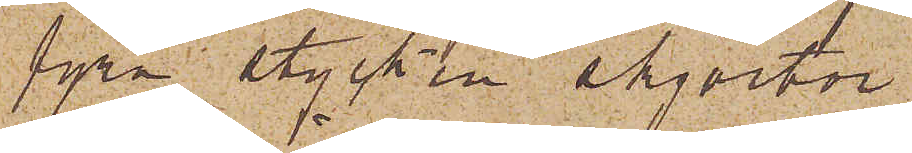fyra stycken skjortor
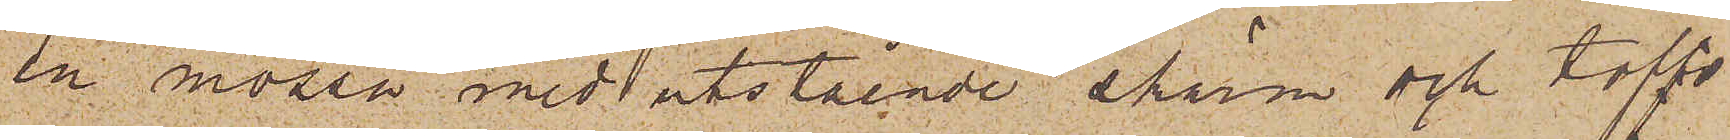en mössa med utstående skärm och toffs
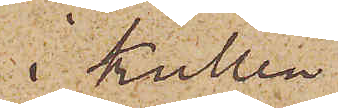i Kullen.
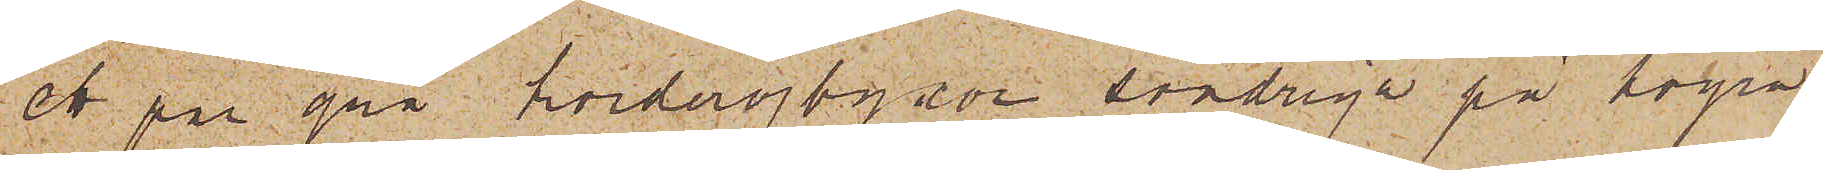ett par grå korderojbyxor söndriga på högra
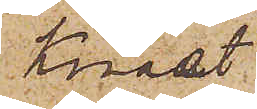Knäet
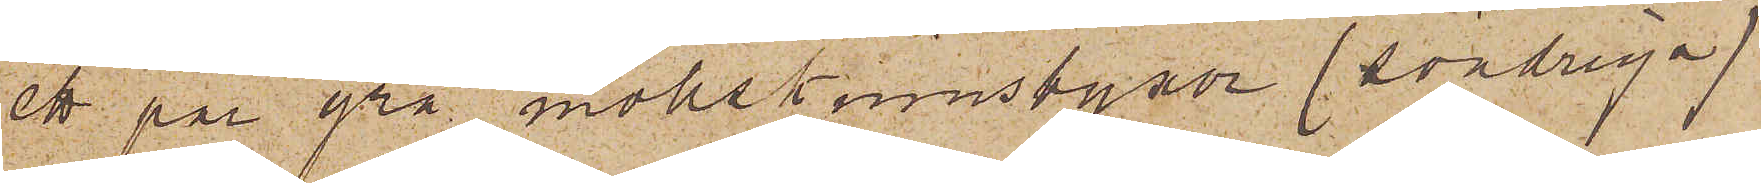ett par grå mollskinnsbyxor (söndriga)
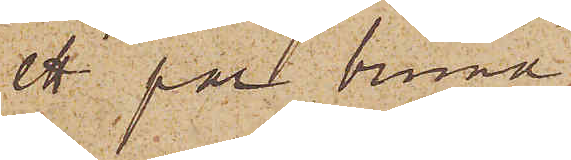ett par bruna do
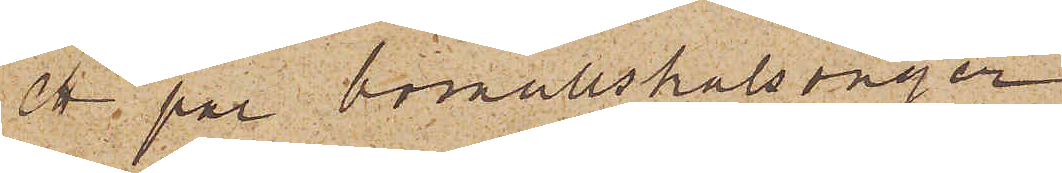1 par bomullskalsonger
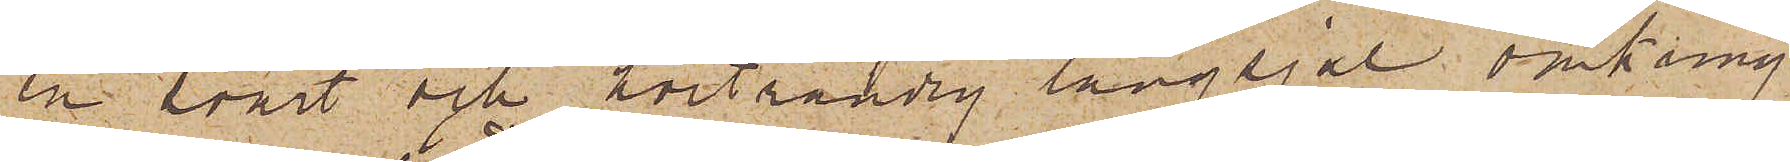en svart och hvitrandig långsjal omkring
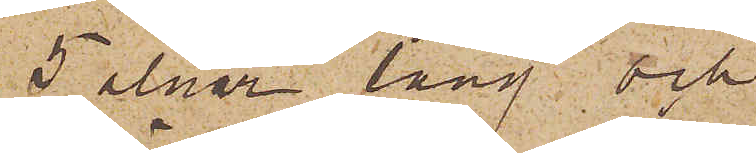5 alnar lång och
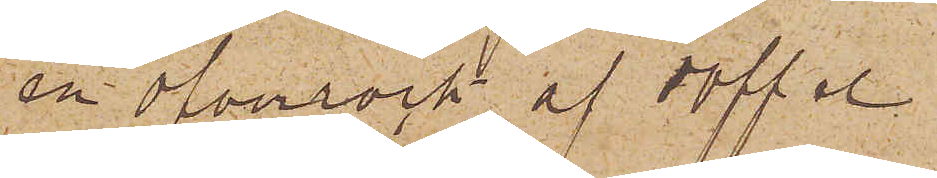en öfverrock af doffel
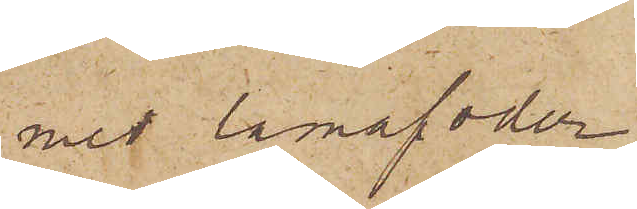med lamafoder
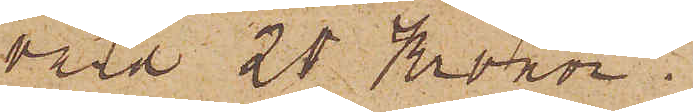värd 20 Kronor.
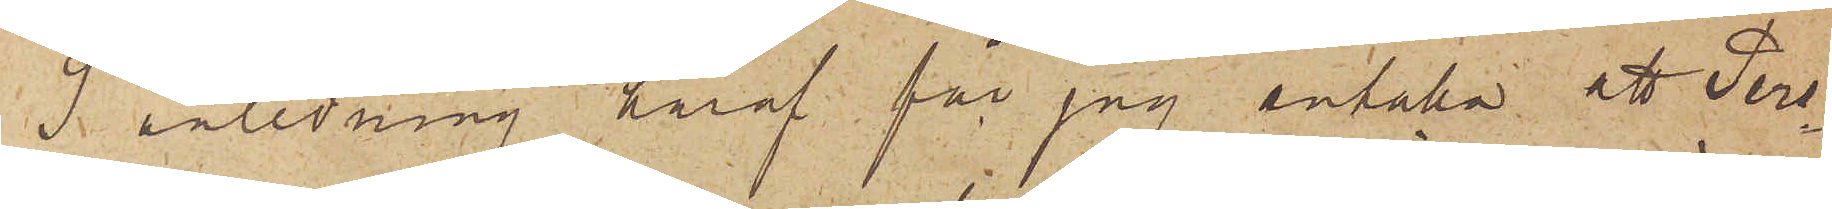I anledning häraf får jag anhålla att Pers¬
